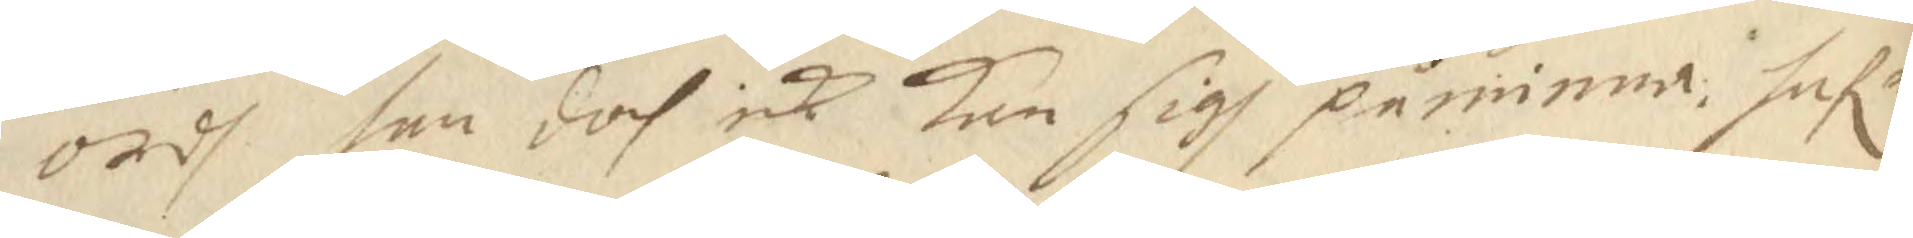ordh han doch icke Kan sigh påminna hafr
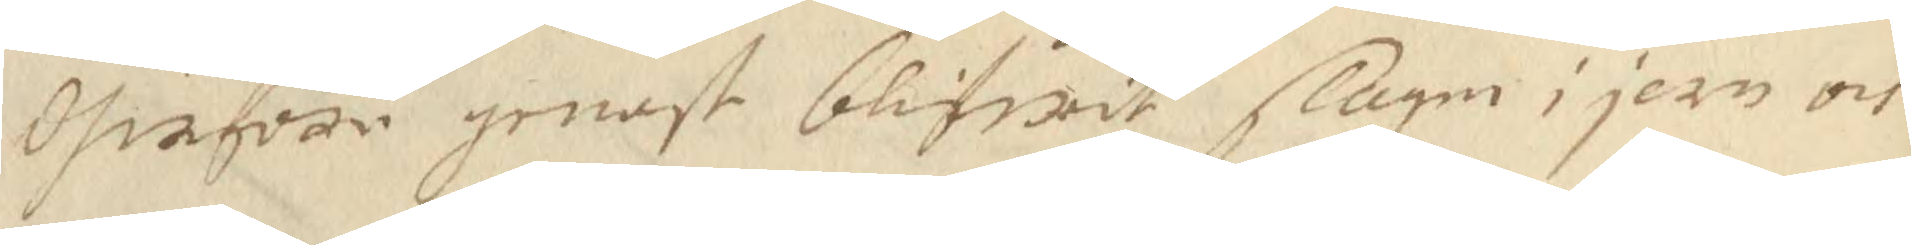dherföre genast blifwit slagen i jern och
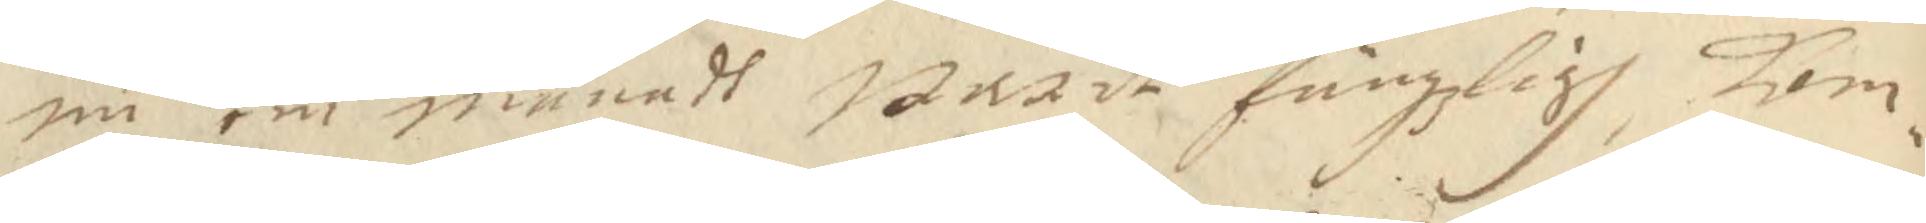nu em månadt warit fängzligh, kom¬
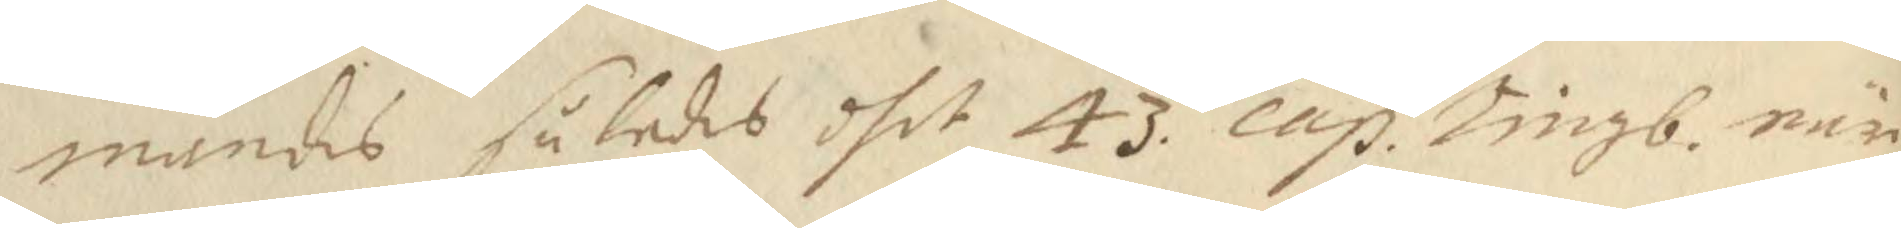mandes således dhet 43 cap. Tingb. när¬ 
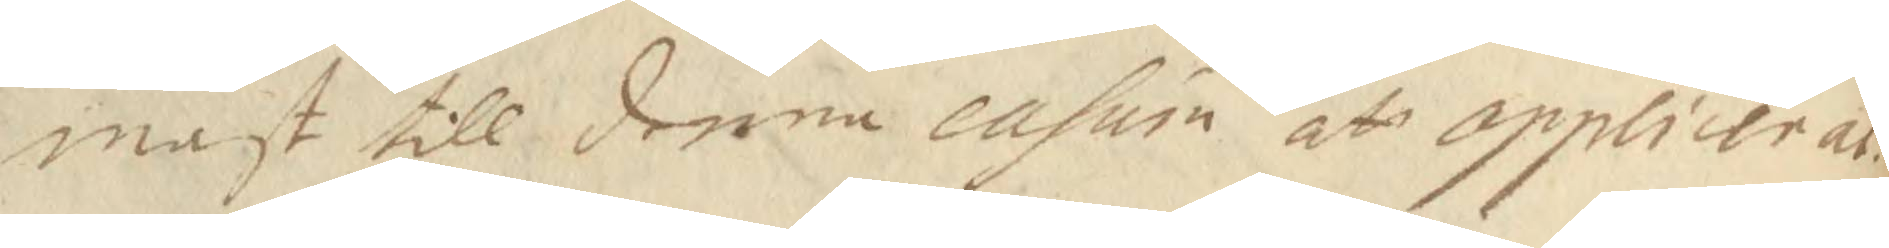mast till denna casum att opplicerat.
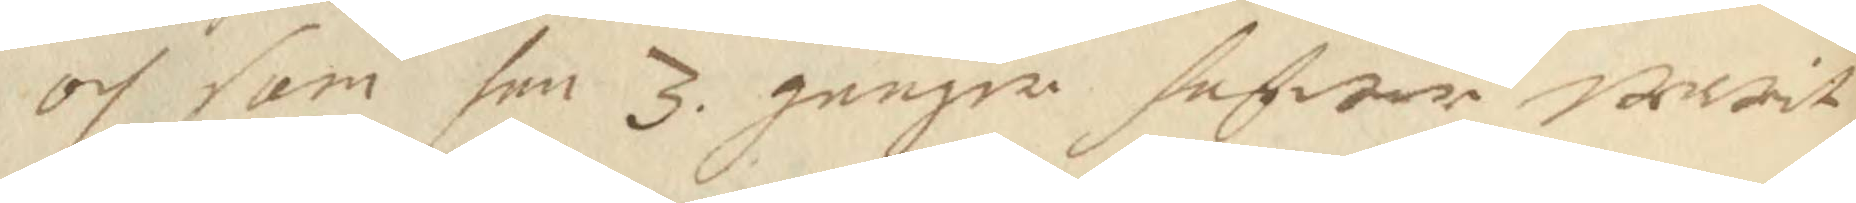och som han 3 gånger hafwer warit
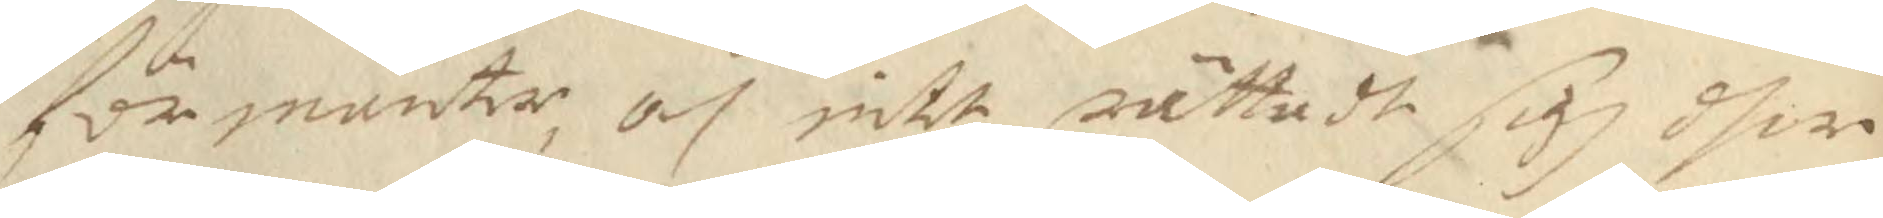förmanter, och intet rättadt sigh dher
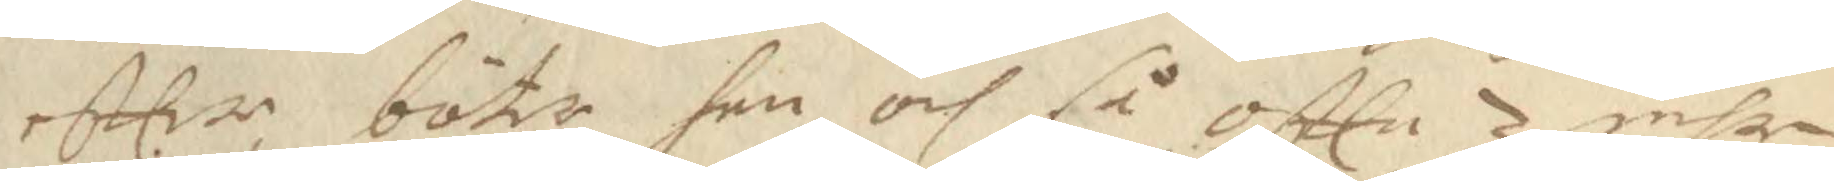eftter böter han och så oftte 3 mhr 
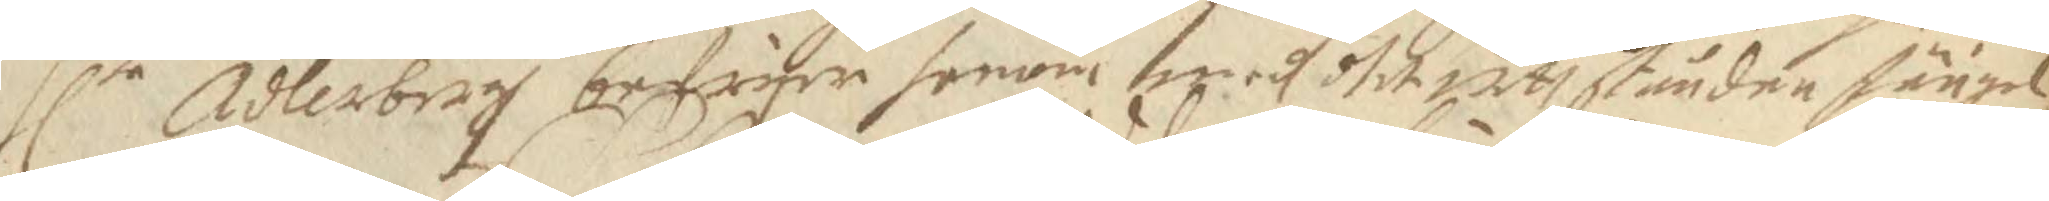Hlrr Adlerbrigh befriar honom medh dhet utt ståndne fängel¬
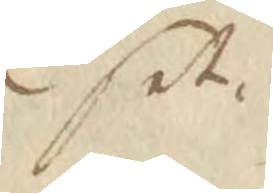set.
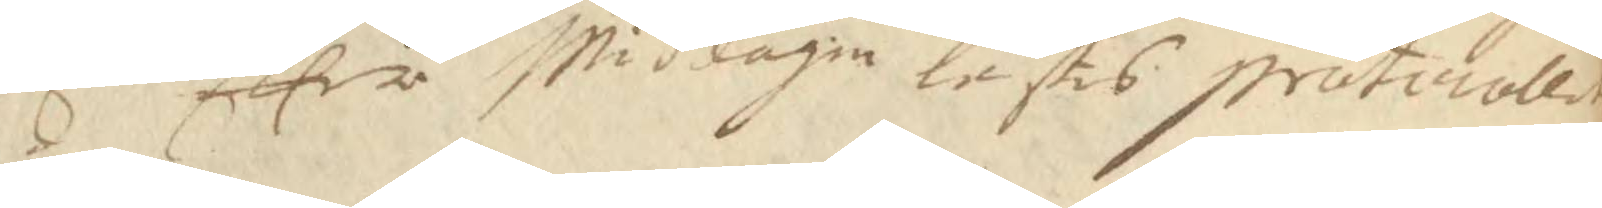Eer Middagin lästis Protocollet
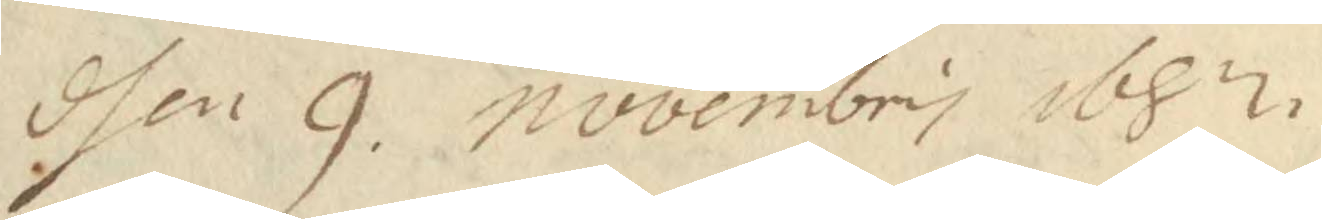dhen 9 novembris 1682
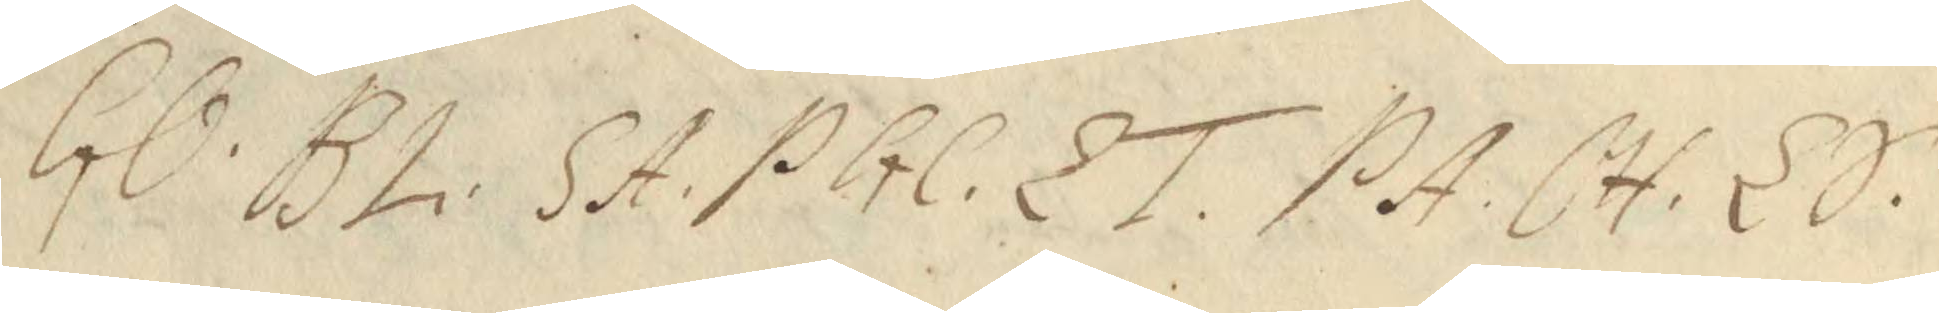GO. BL. SA. PGC. LT. PA. CH. LS.
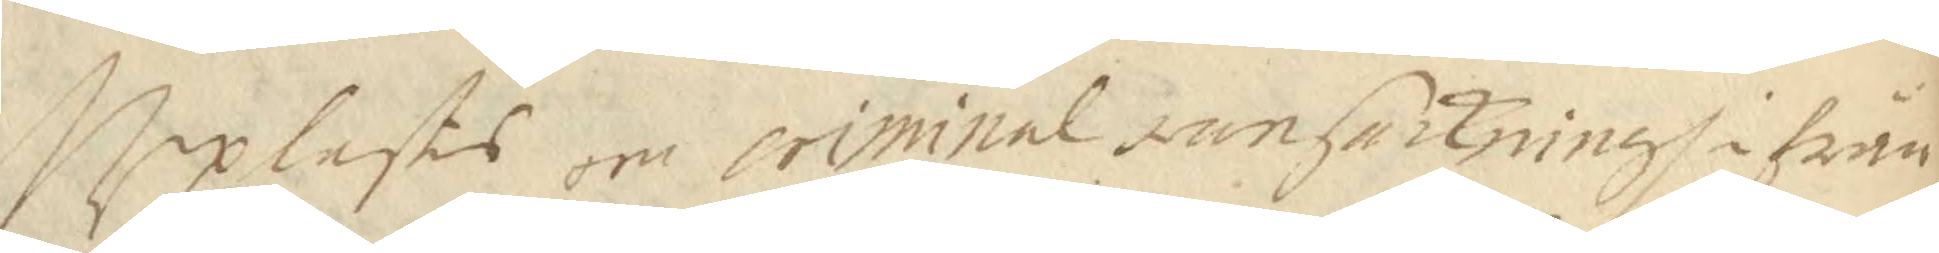Upplästes om criminal ransackningh ifrån
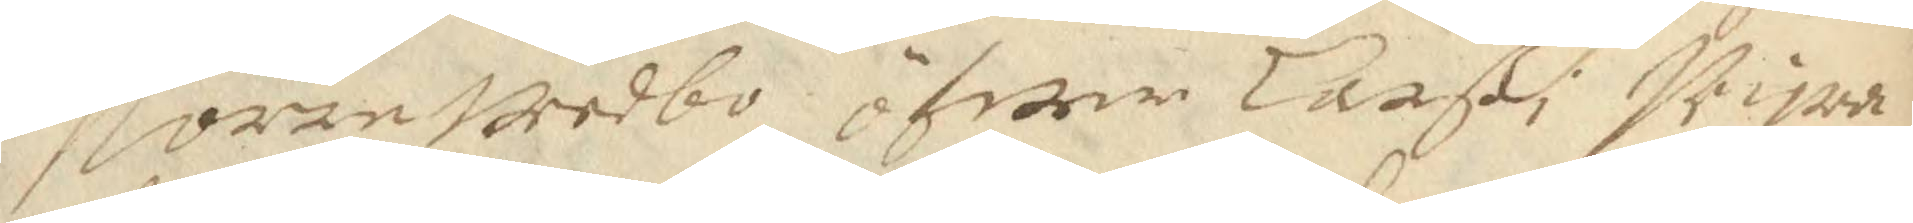Norre Wedbo öfwer Larß i Wira¬
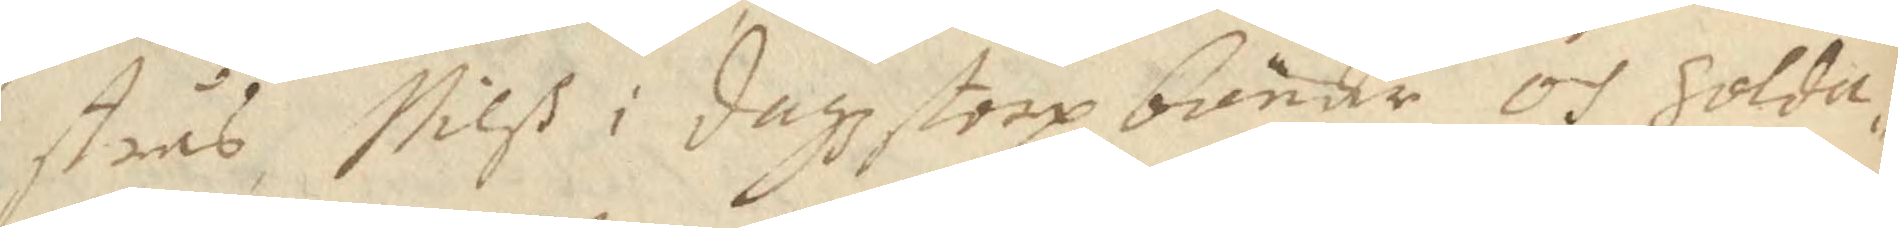strås, Nilß i dagzstrop bönder och Solda¬
